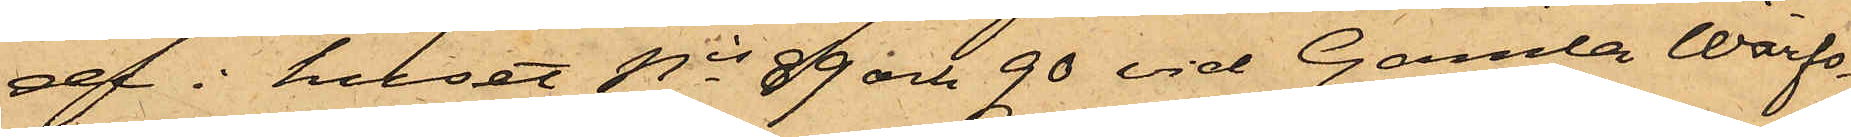ae i huset Nis 9 och 90 vid Gamla Warfs¬
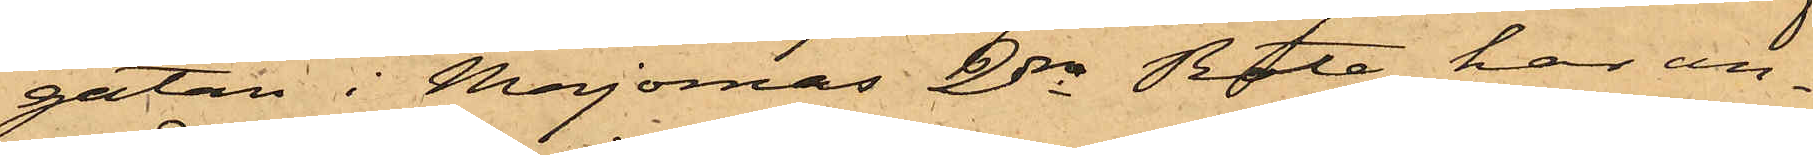gatan i Majornas 2dra Rote, har an¬
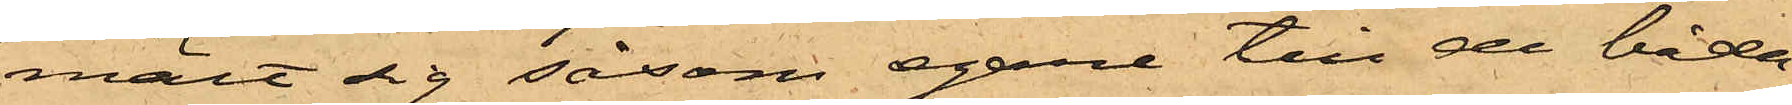mält sig såsom egare till de båda
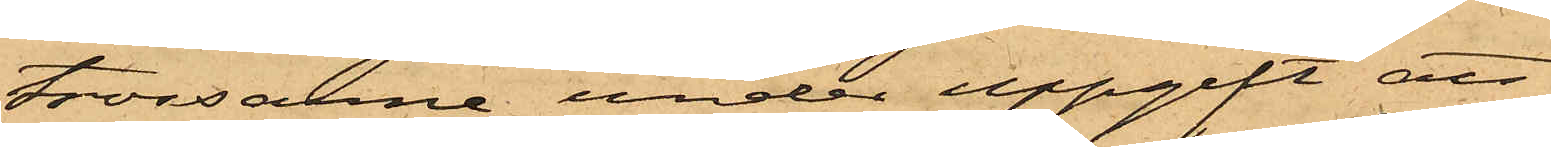trossarne, under uppgift att
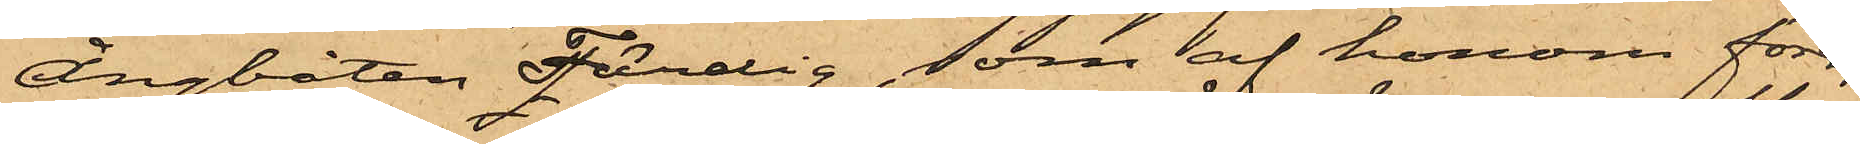ångbåten Färdig, som af honom föres,
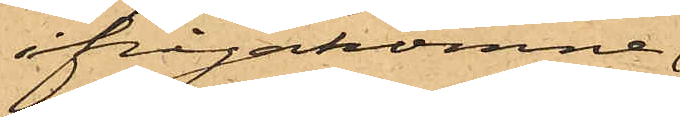ifrågakomne
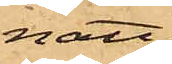natt
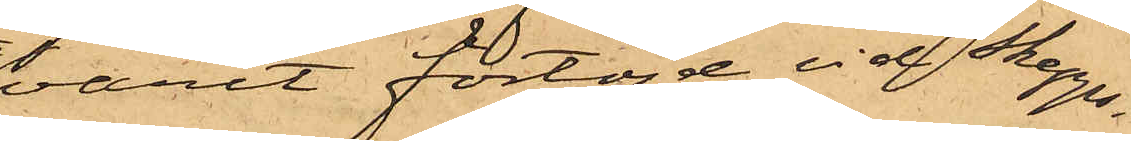varit förtöjd vid Skepps¬
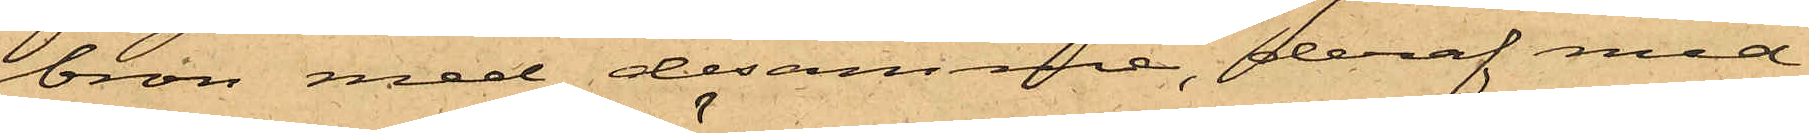bron med desamme, deraf med
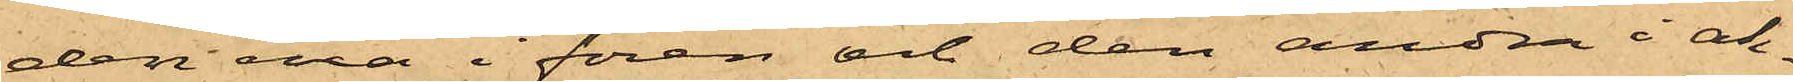den ena i fören och den andra i ak¬
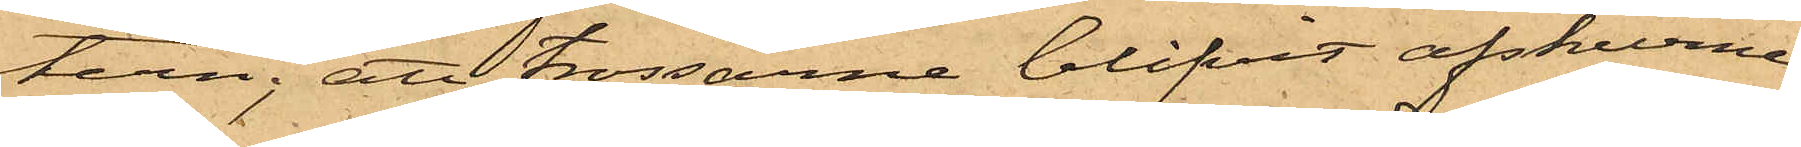tern; att trossarne blifvit afskurne
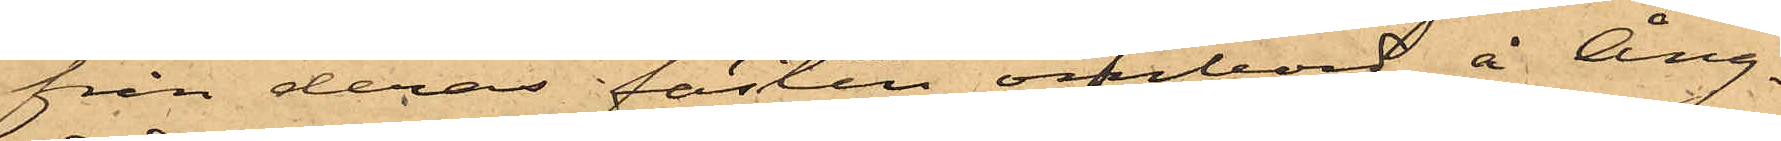från deras fästen ombord å Ång¬
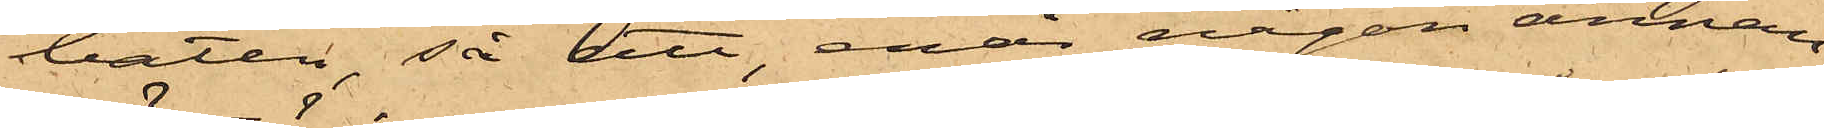båten, så att, enär någon annan
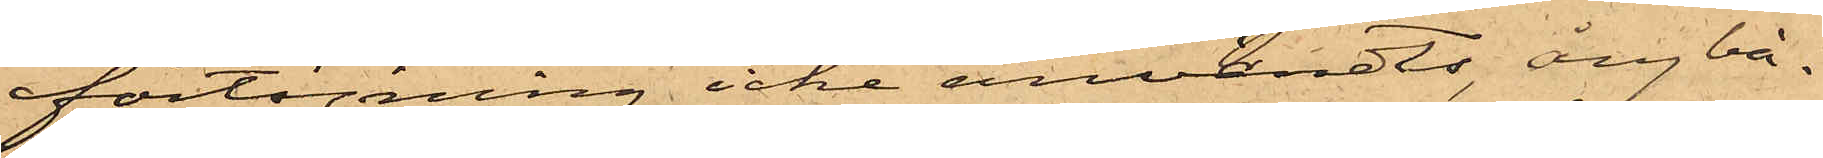förtöjning icke användts, ångbå¬
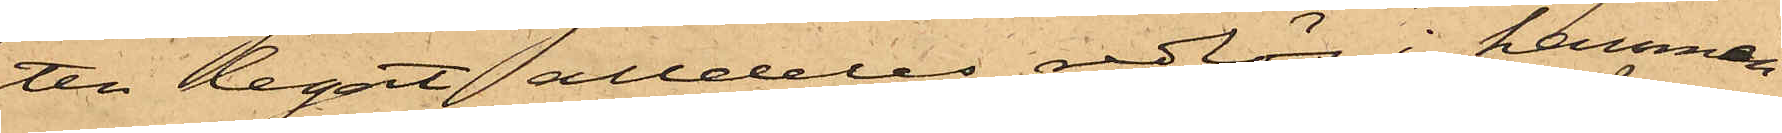ten legat alldeles redlös i hamnen
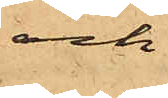och
